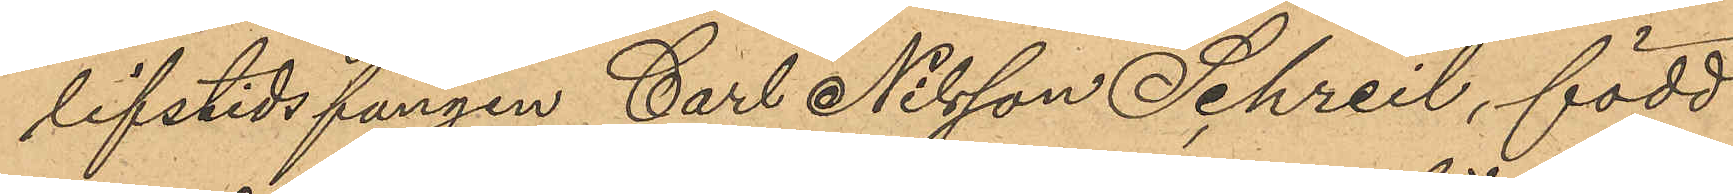lifstidsfången Carl Nilsson Schreil, född
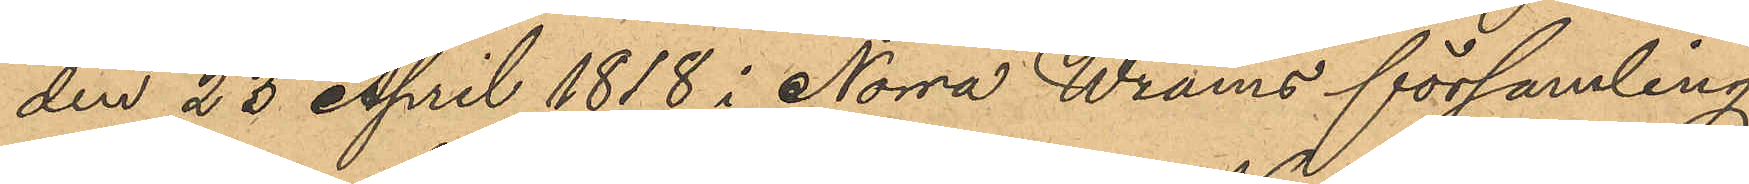den 23 April 1818 i Norra Wrams församling
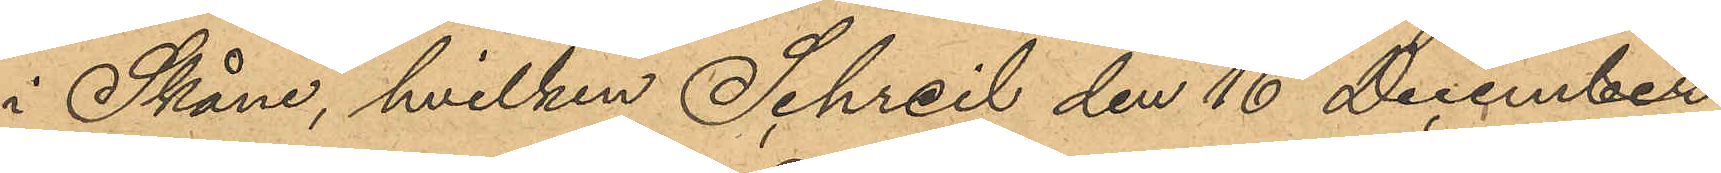i Skåne, hvilken Schreil den 16 December
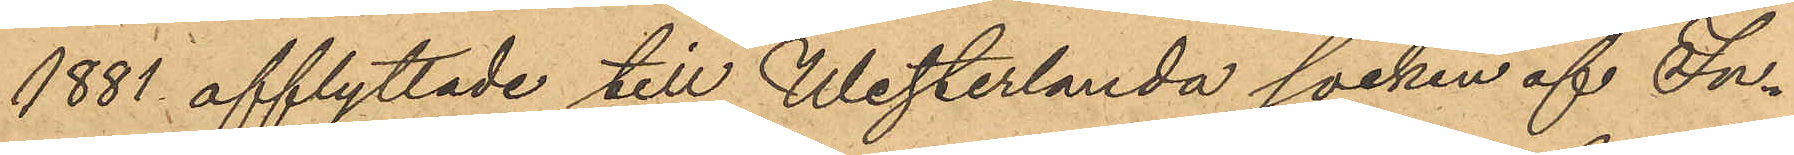1881 afflyttade till Westerlanda socken af In¬
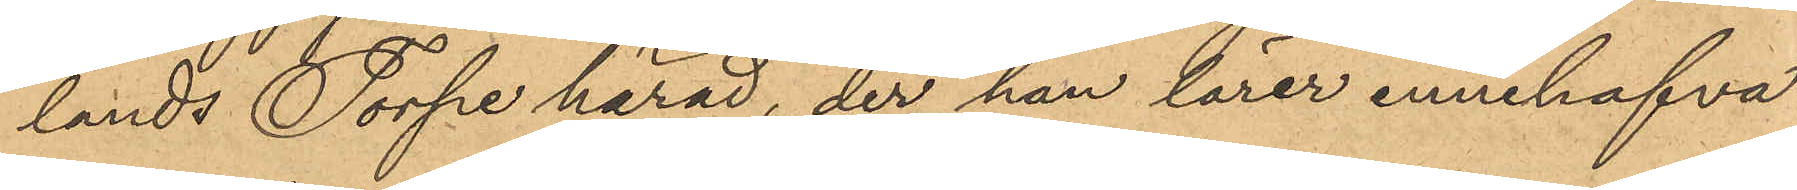lands Torpe härad, der han lärer innehafva
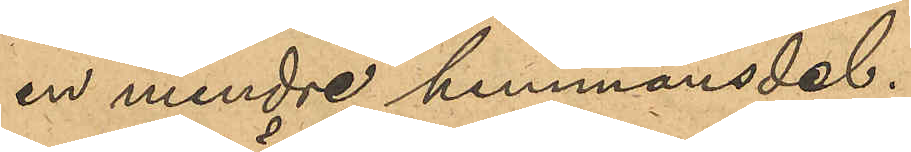en mindre hemmansdel.
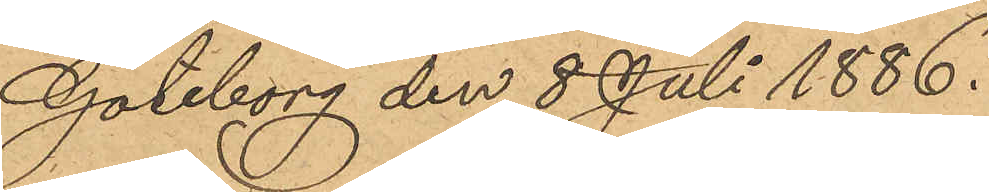Göteborg den 8 Juli 1886.
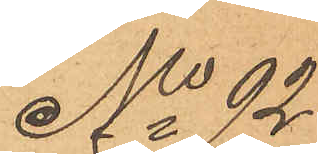No 92
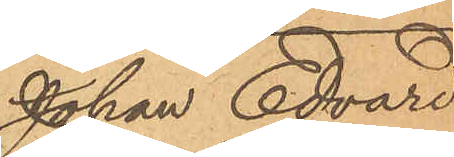Johan Edvared
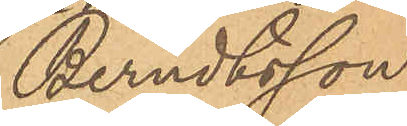Berndtsson
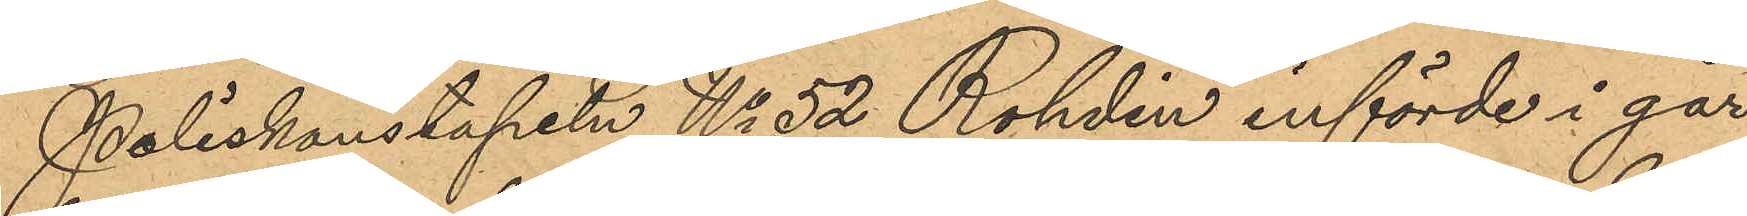Poliskonstapeln No 52 Rohdin införde i går
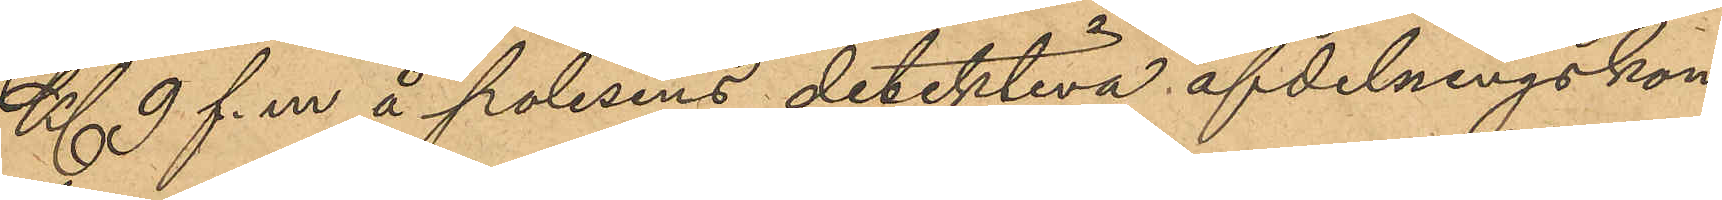Kl 9 f. m å polisens detektiva afdelningskon¬
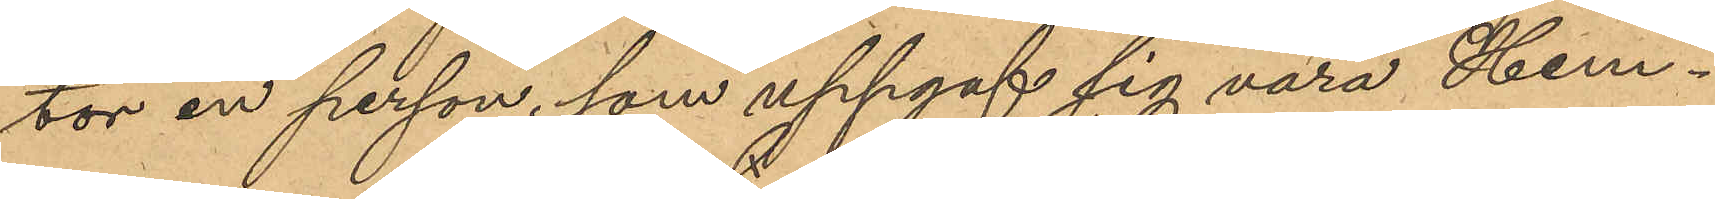tor en person, som uppgaf sig vara Hem¬
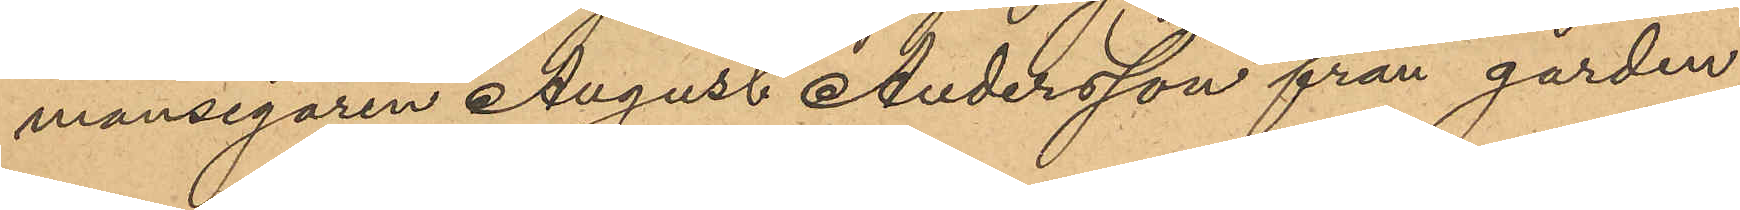mansegaren August Andersson från gården
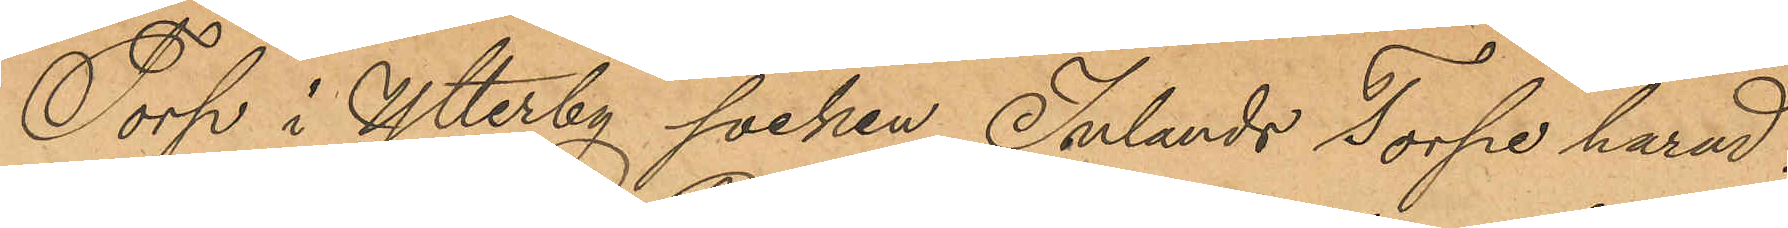Torp i Ytterby socken Inlands Torpe härad,
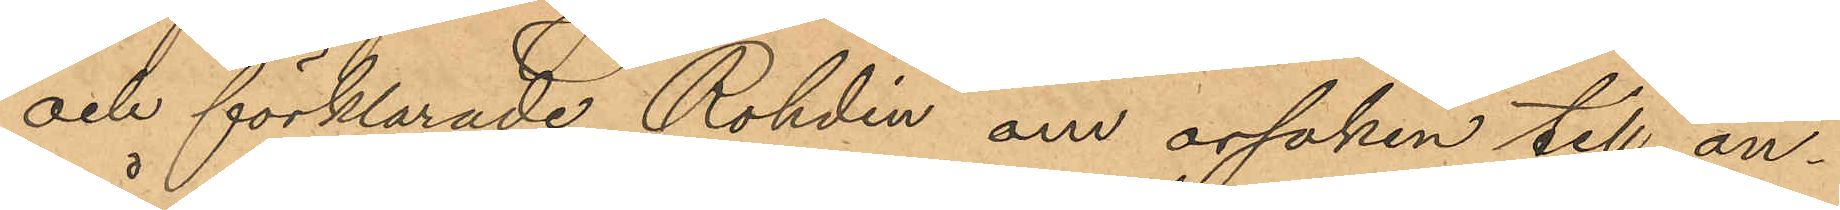och förklarade Rohdin om orsaken till an¬
